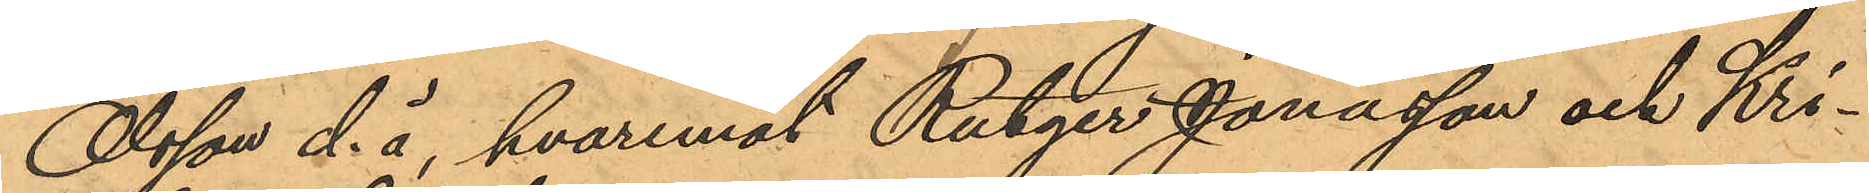Olsson d. ä, hvaremot Rutger Jonasson och Kri¬
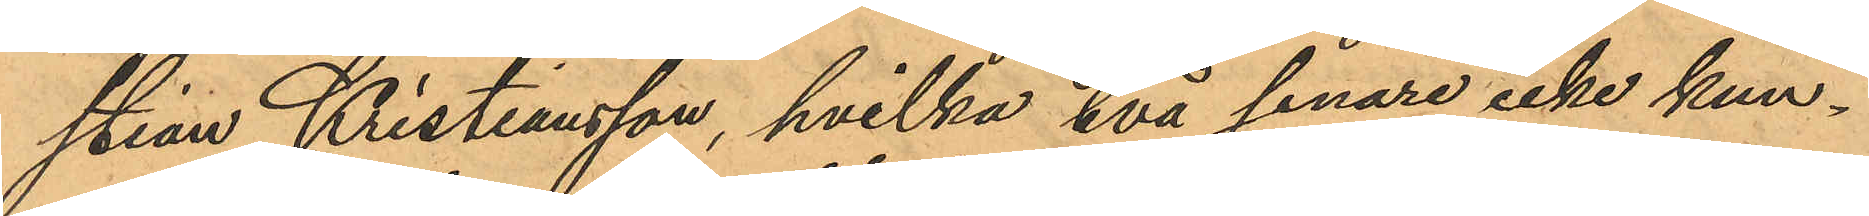stian Kristiansson, hvilka två senare icke kun¬
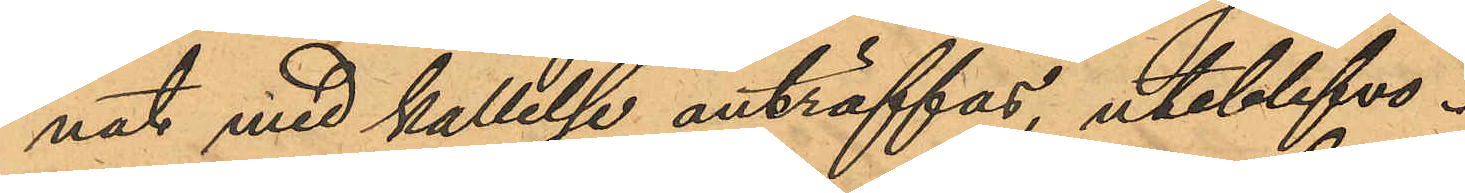nat med kallelse anträffas, uteblefvo.
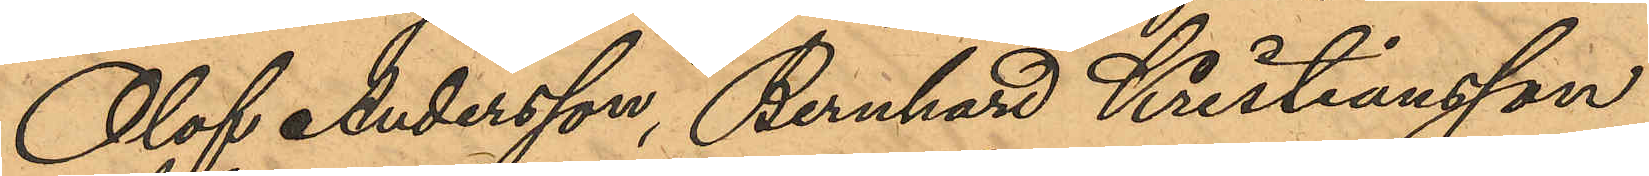Olof Andersson, Bernhard Kristiansson
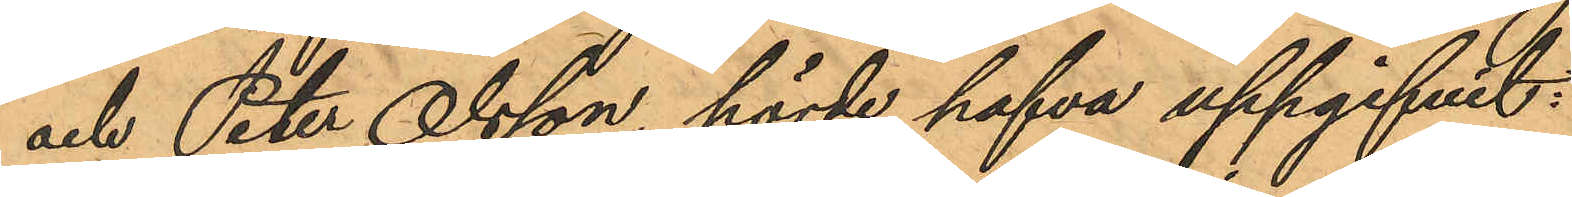och Peter Olsson, hörde, hafva uppgifvit:
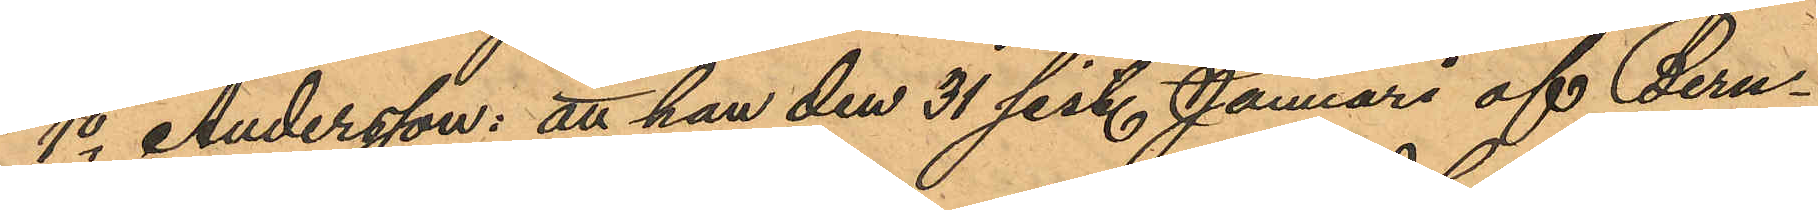1o Andersson: att han den 31 sist. Januari af Bern¬
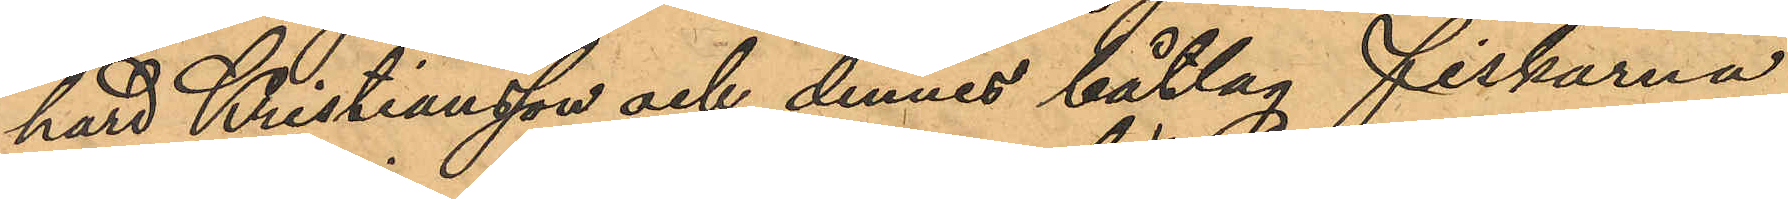hard Kristiansson och dennes båtlag fiskarna
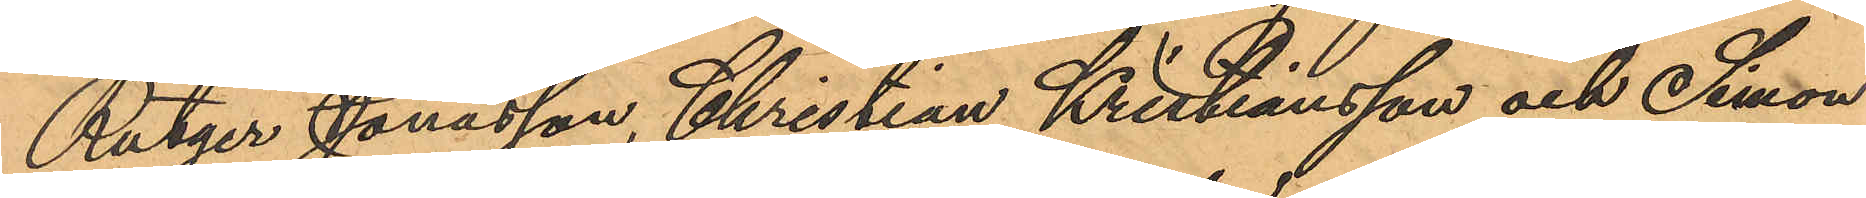Rutger Jonasson, Christian Kristiansson och Simon
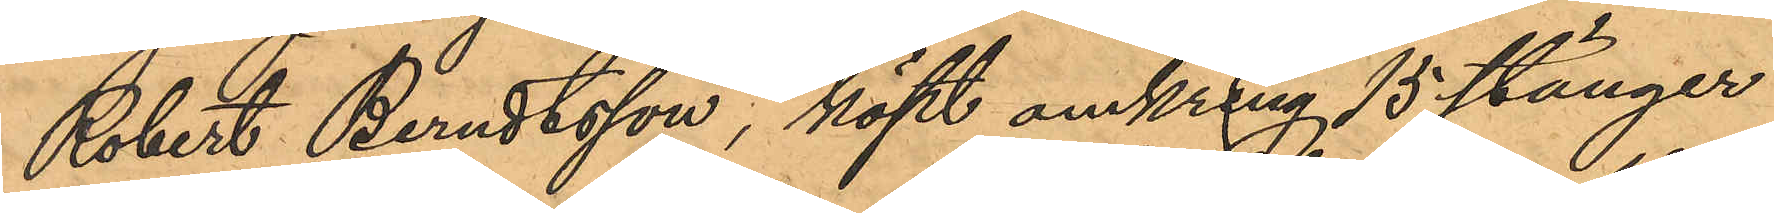Robert Berndtsson, köpt omkring 15 stänger
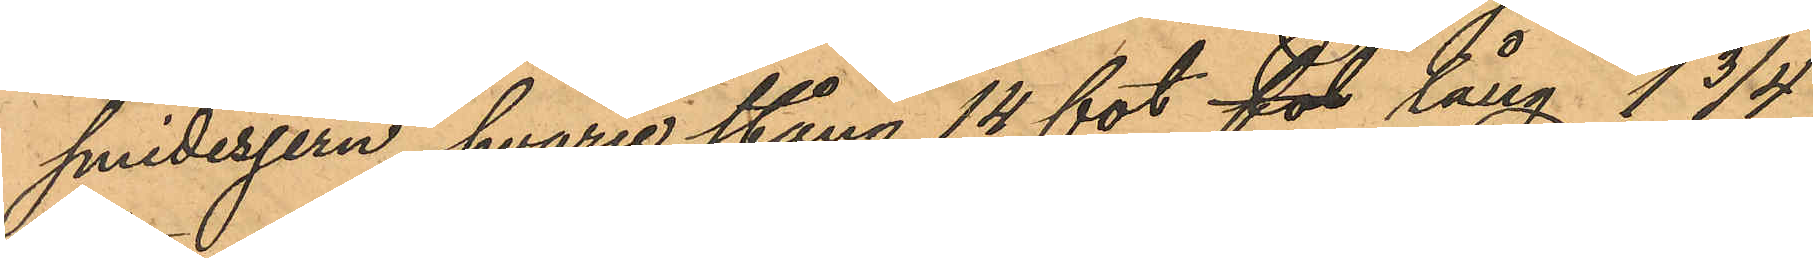smidesjern, hvarje stång 14 fot fot lång 1 3/4
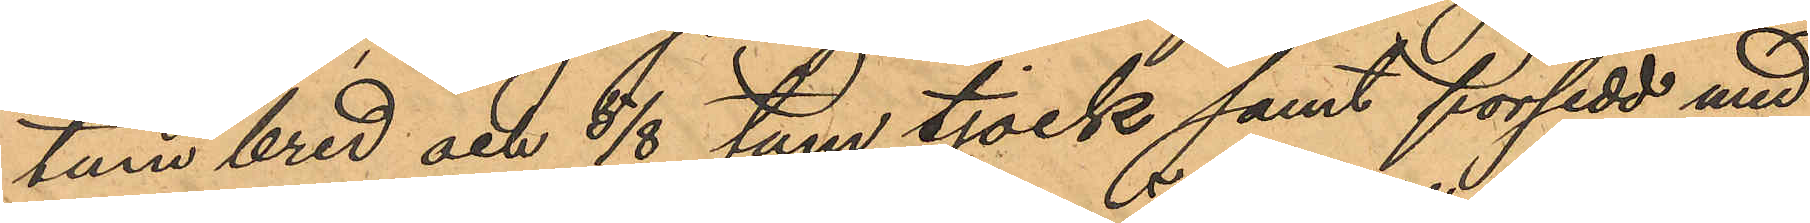tum bred och 5/8 tum tjock samt försedd med
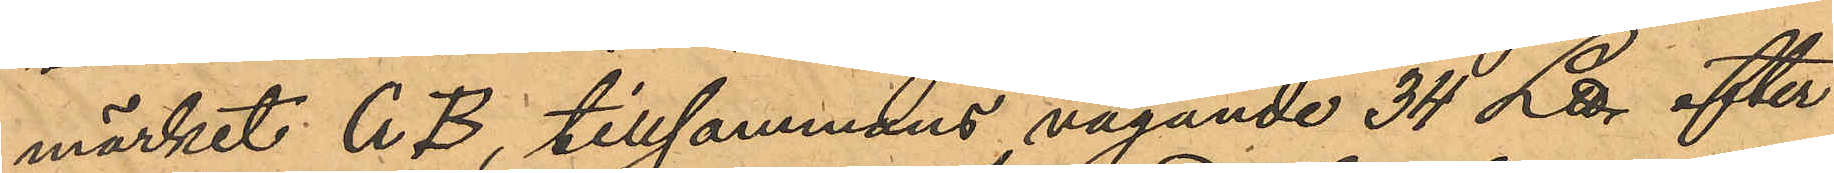märket C B, tillsammans vägande 34 ℔ efter
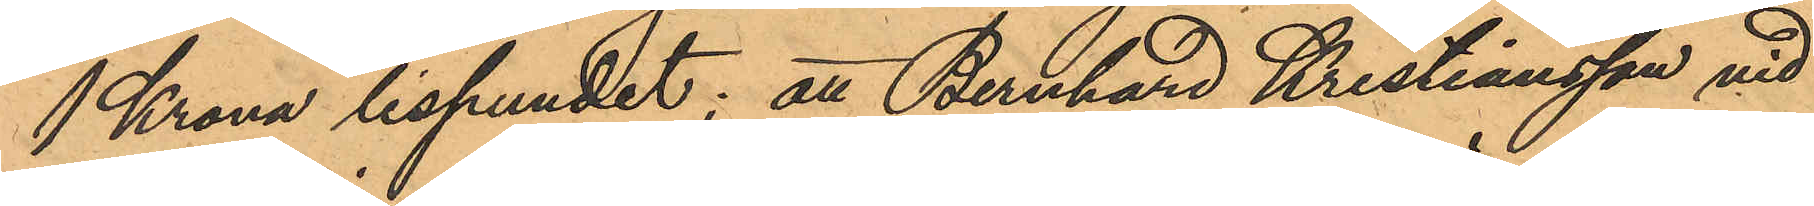1 Krona lispundet; att Bernhard Kristiansson vid
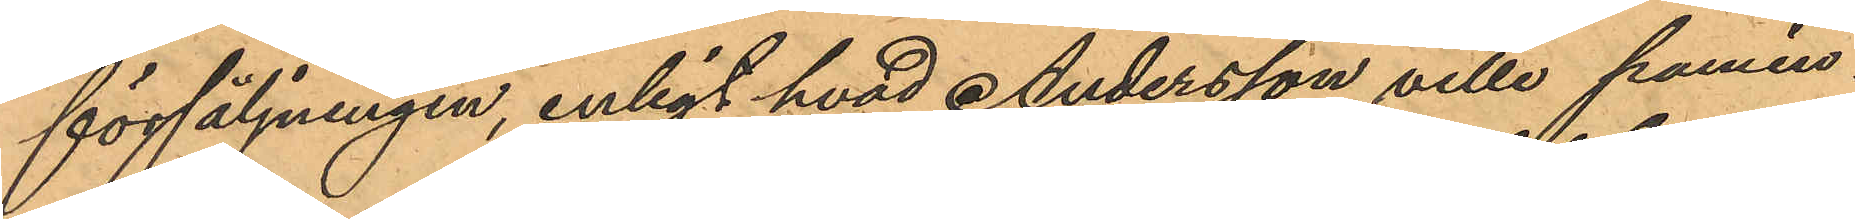försäljningen, enligt hvad Andersson ville pamin¬
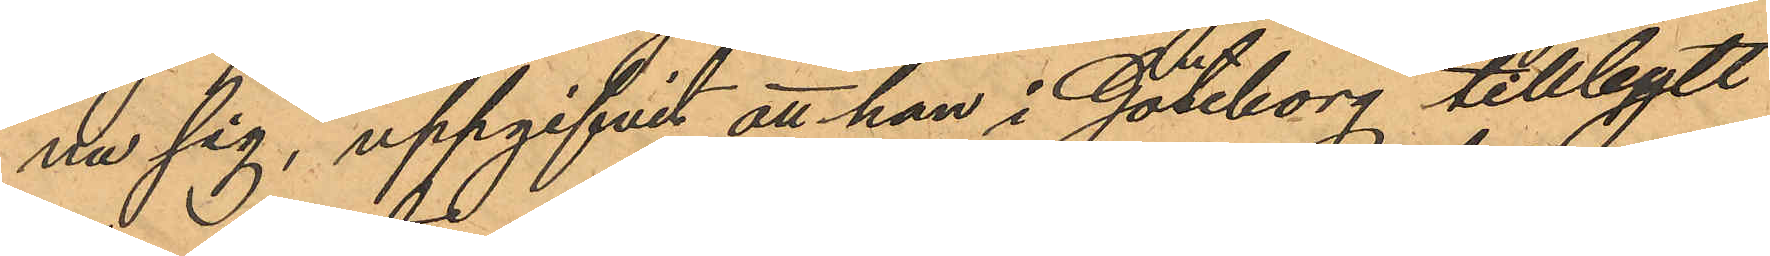na sig, uppgifvit att han i Göteborg tillbytt
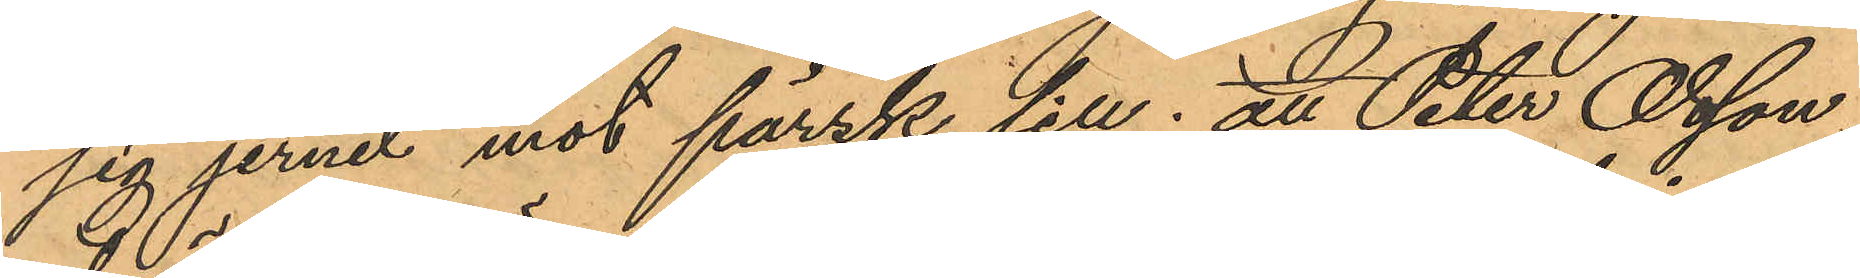sig jerner mot färsk sill; att Peter Olsson
